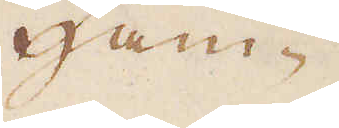Ham-
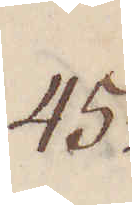45.
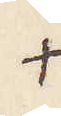+
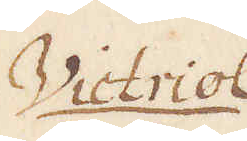Victriol
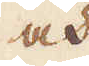och
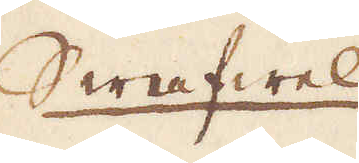Swafwel
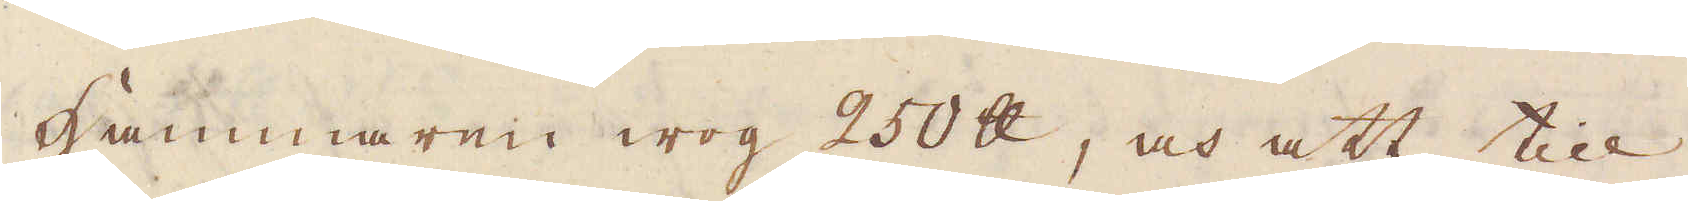Hammaren wog 250 skålpund, och att till
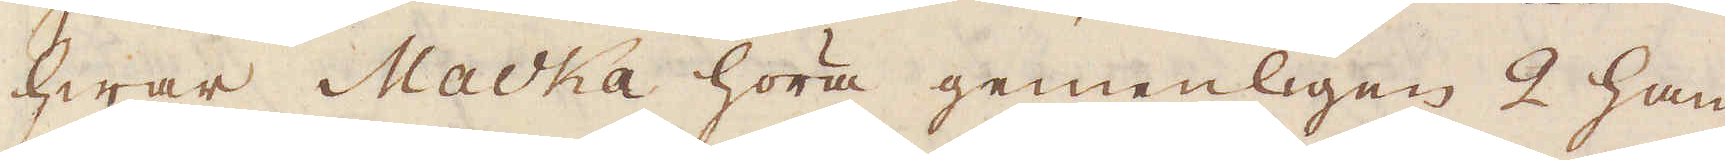hwar Macka höra gemenligen 2 ham-
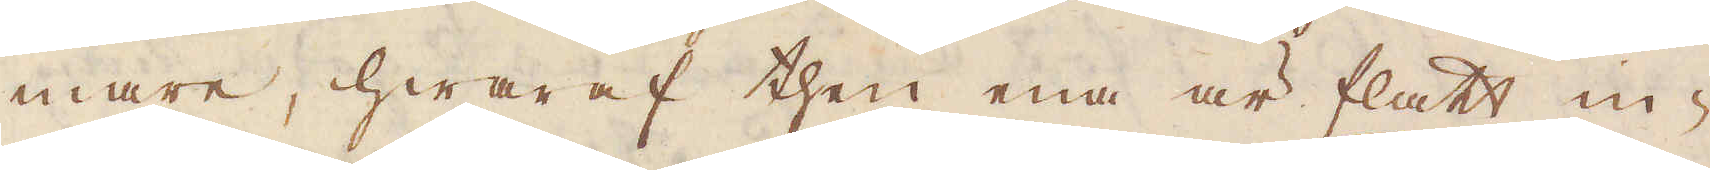mare, hwaraf then ena är flatt in-
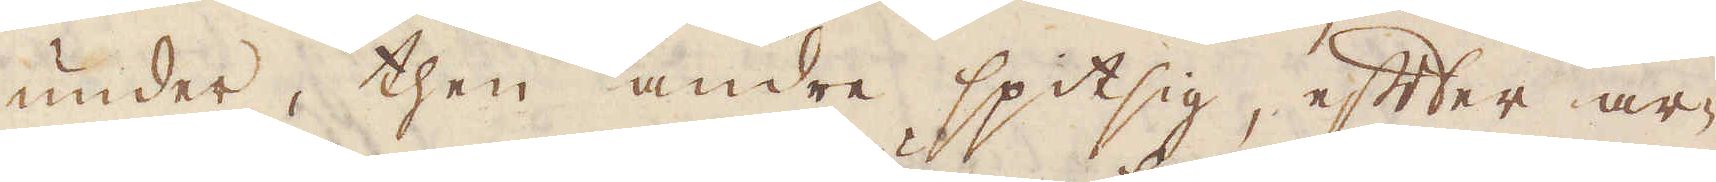under then andre spitsig, efter ar-
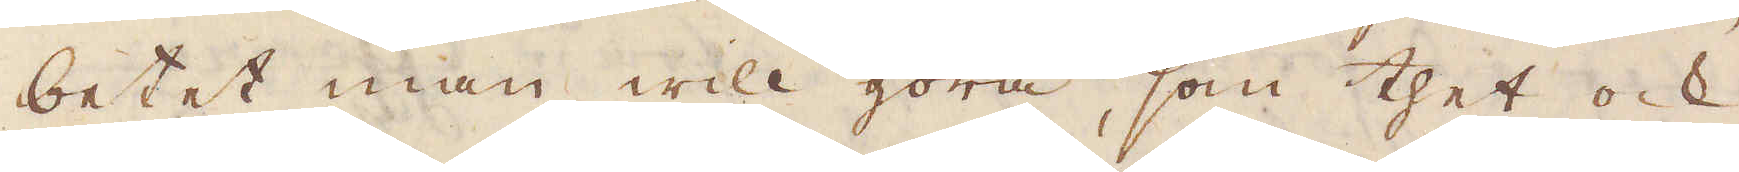betet man will göra, som thet ock
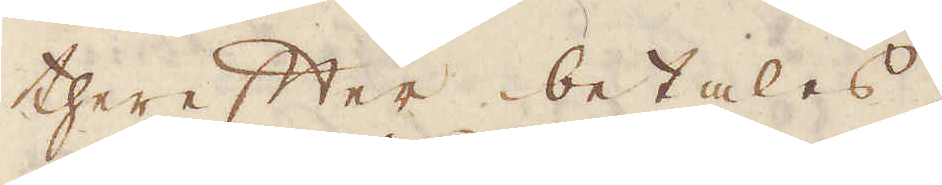therefter betalas.
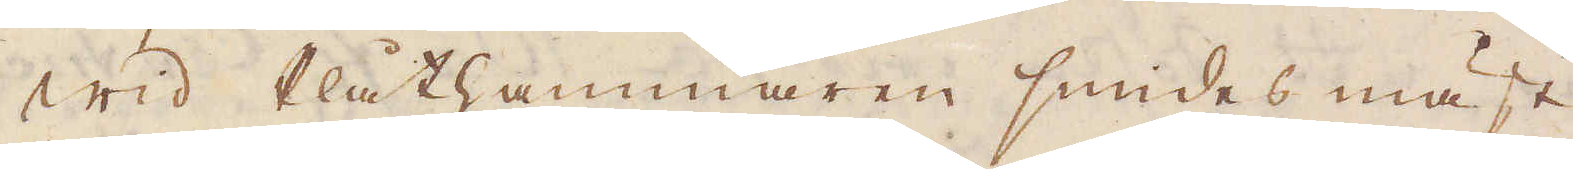Wid Plåthammaren smides mäst
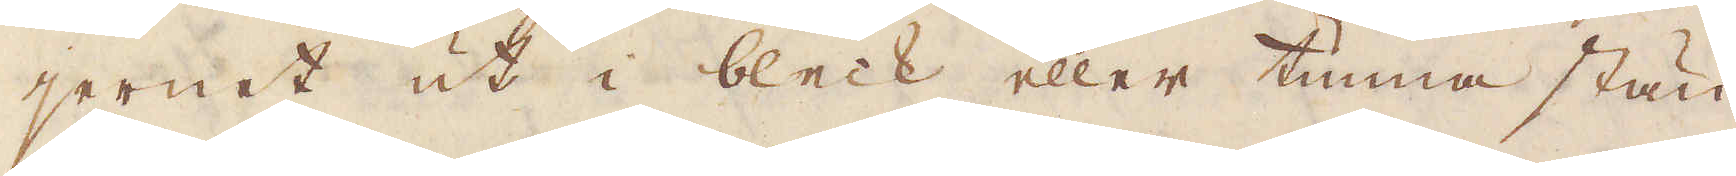jernet ut i bleck eller tunna stän-
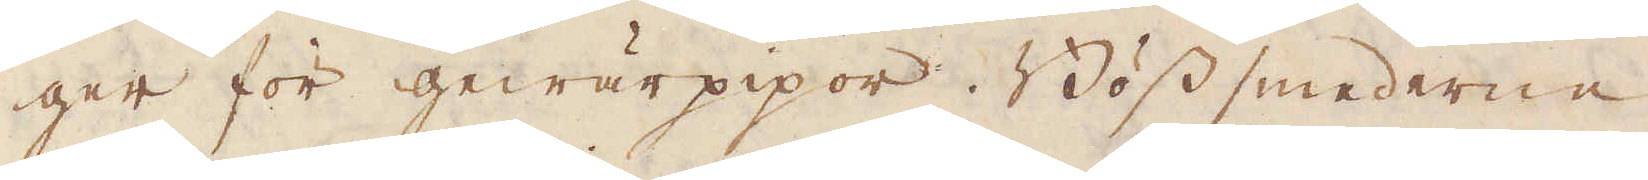ger för gewärpipor. Böss smederne
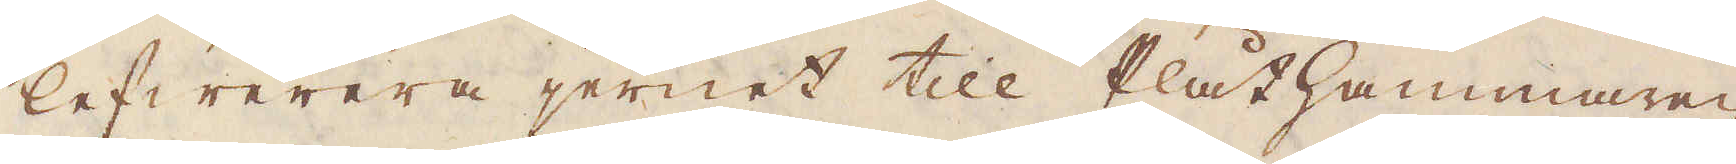lefwerera jernet till Plåthammaren
